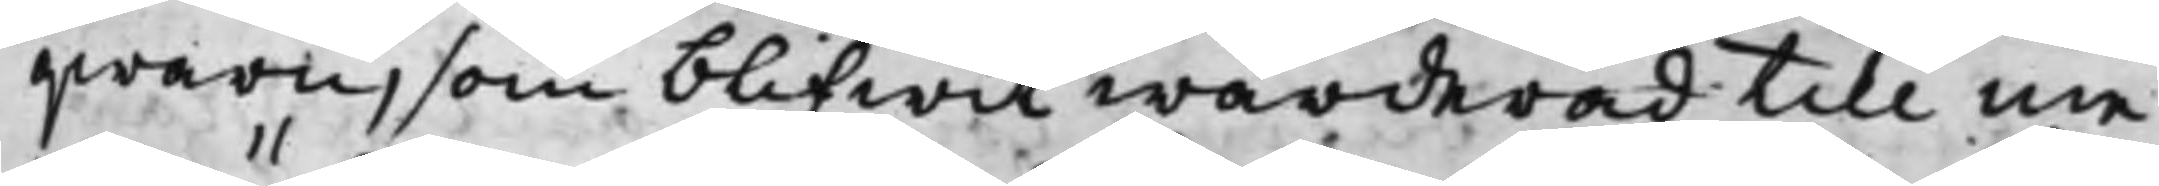qwarn, som blifwit wärderad till me¬
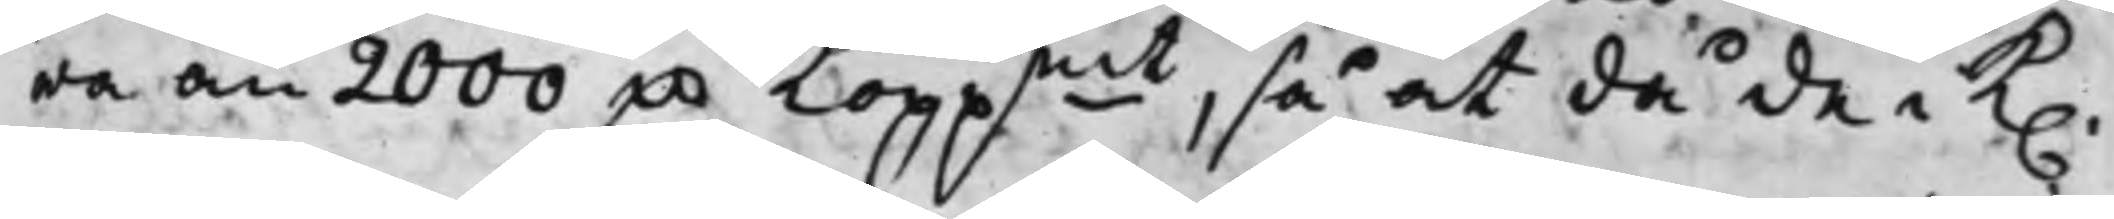ra än 2000 D.r Koppmt, så at då de i K.
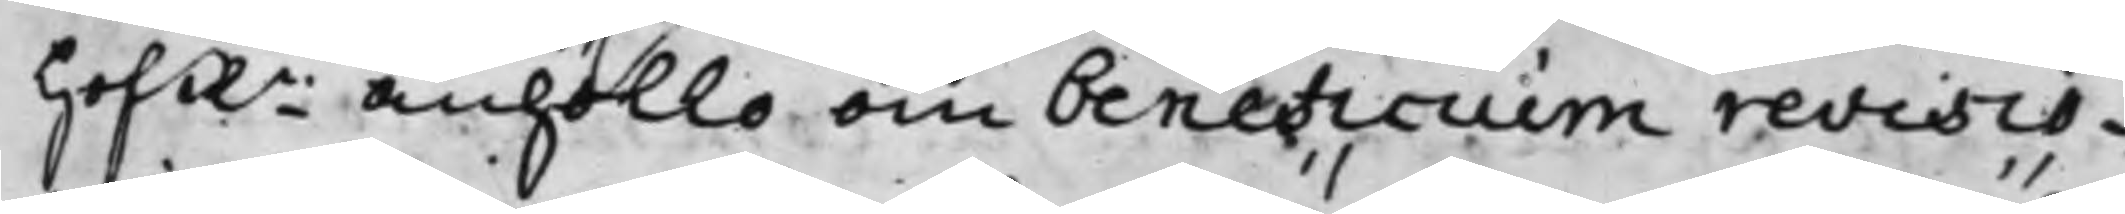HofRn anhöllo om beneficium revisio¬
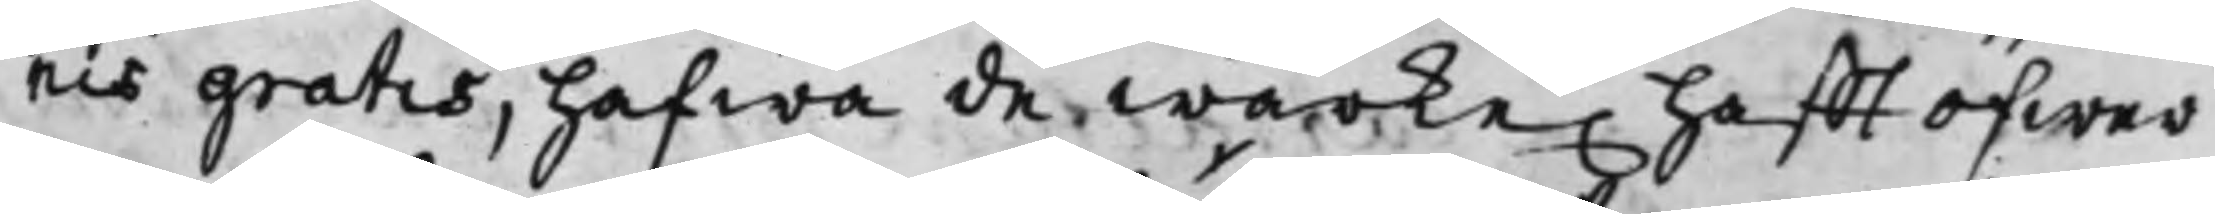nis gratis, hafwa de wärke. hafft öfwer
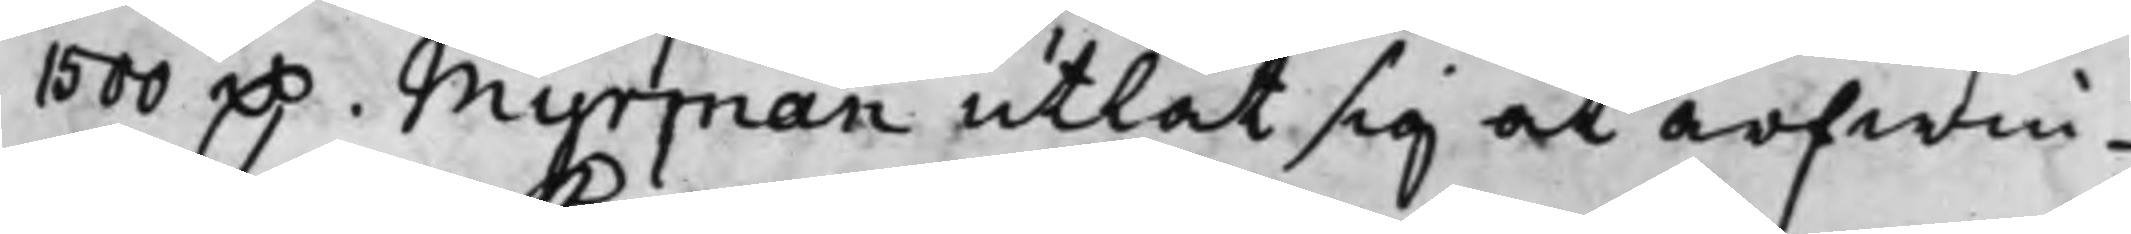1500 D.r. Myrman utlät sig at arfwin¬
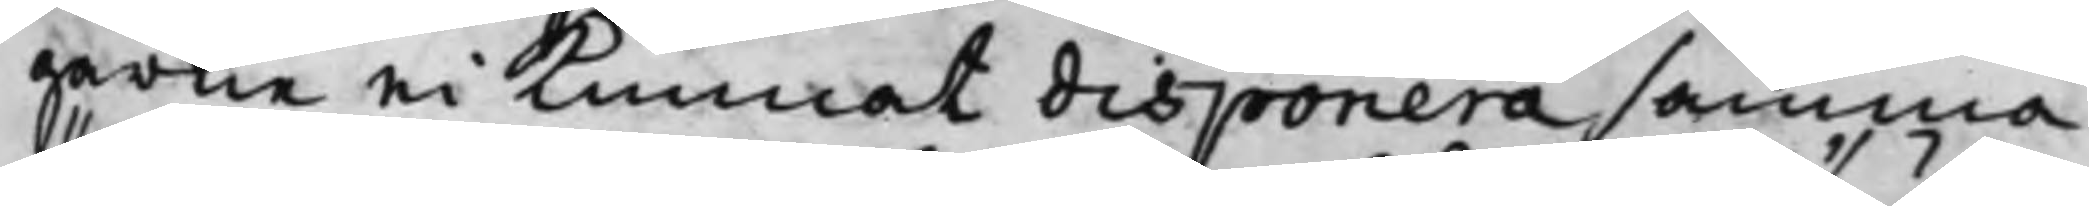garne ei kunnat disponera samma
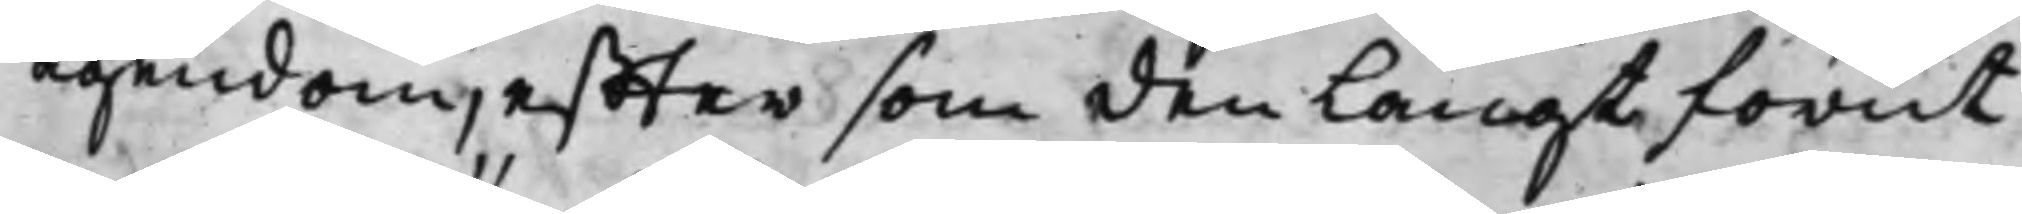ägendom, effter som den långt förut
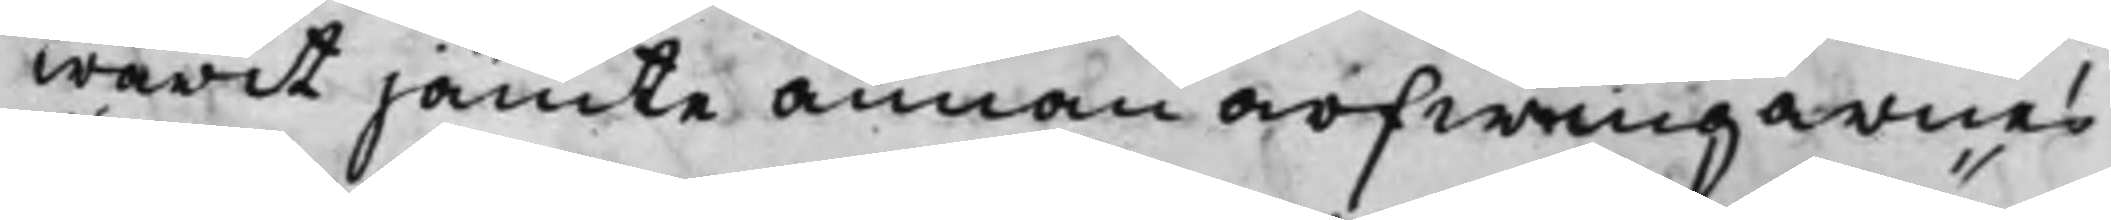warit jämte annan arfwingarnes
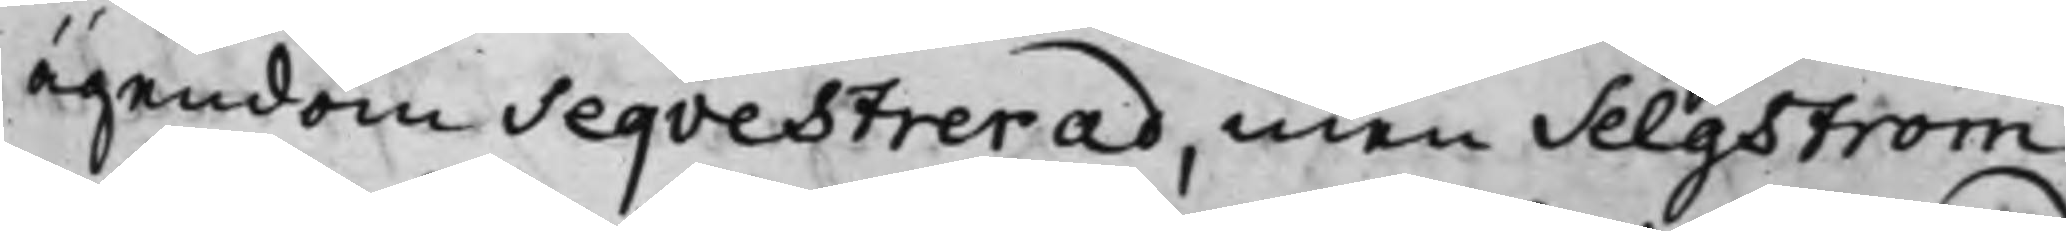ägendom Seqvestrerad, men Selgström
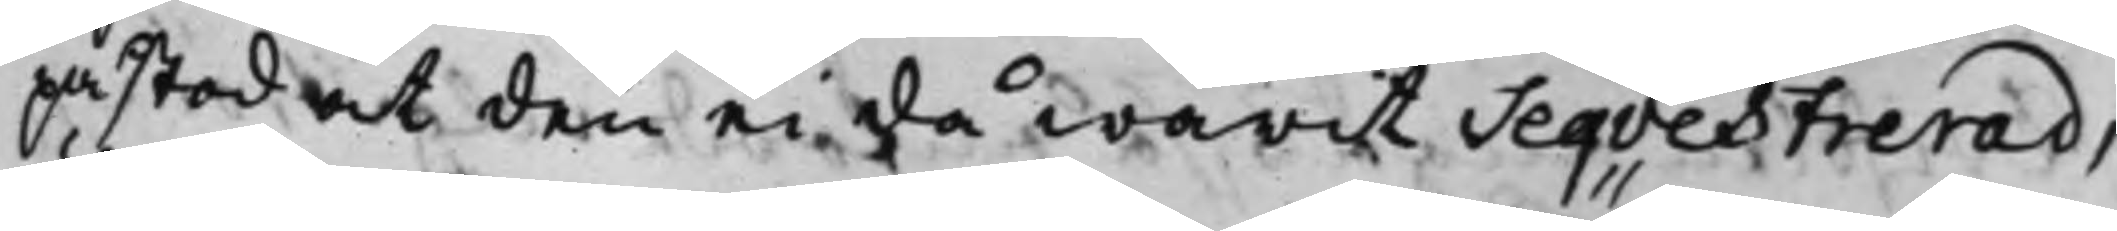påstod at den ei då warit Seqvestrerad,
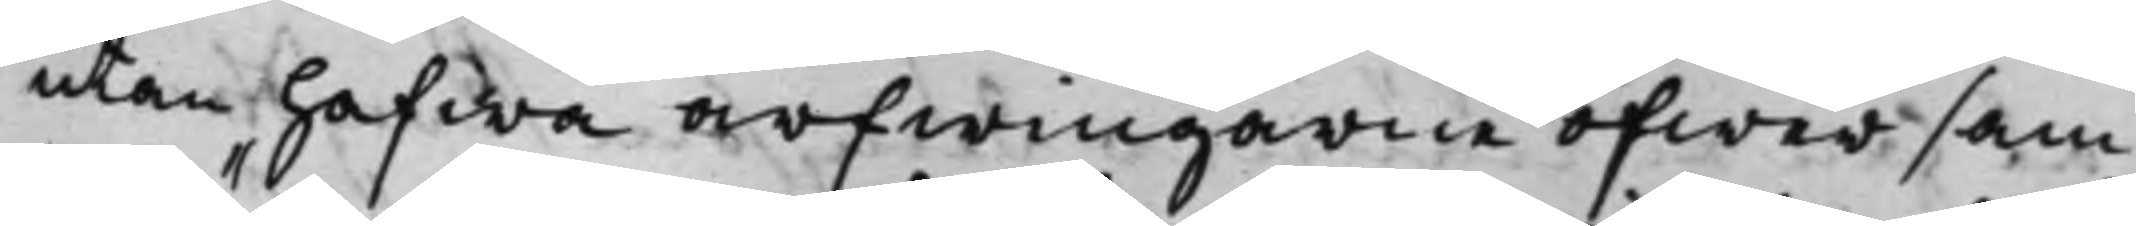utan hafwa arfwingarne öfwer sam¬
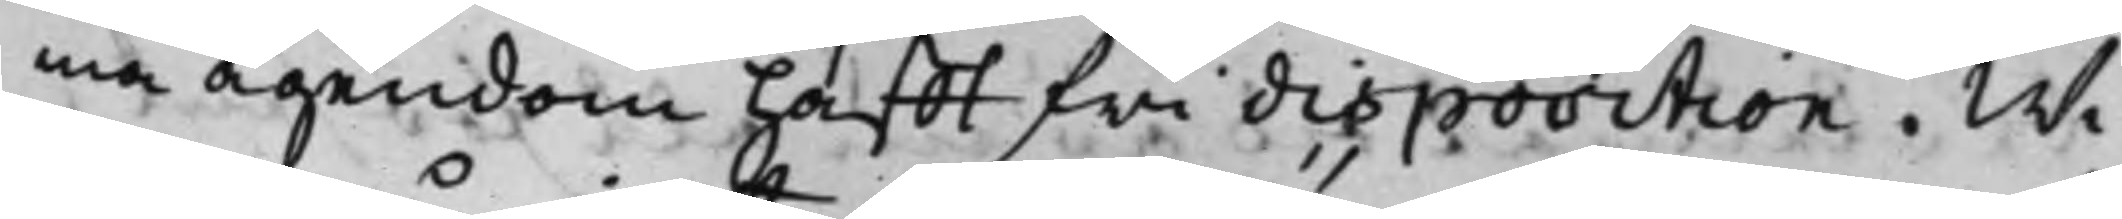ma ägendom hafft fri disposition. Wi¬
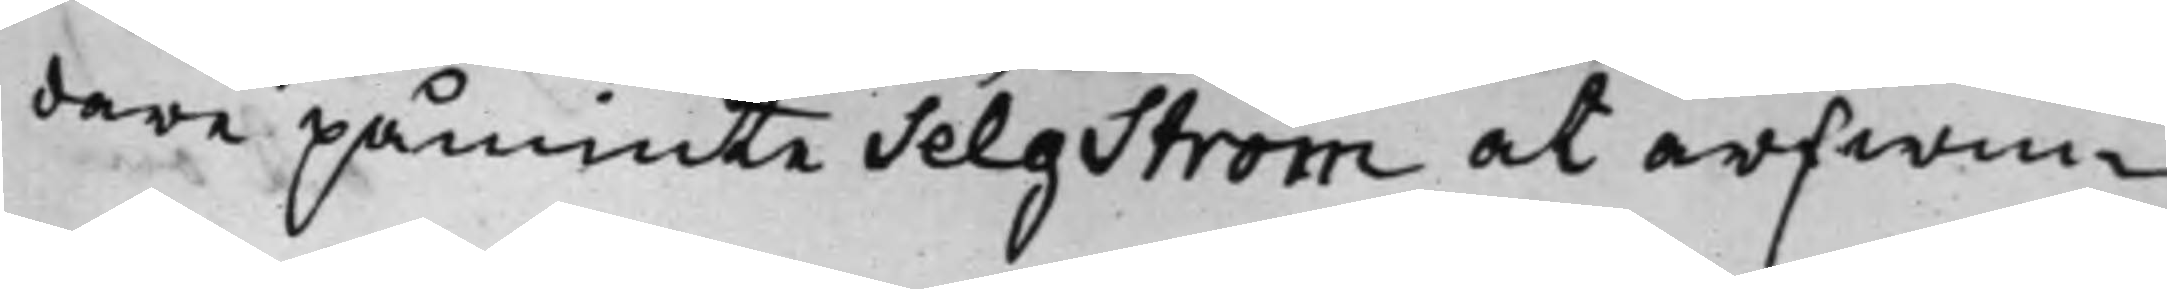dare påminte Selström at arfwin¬
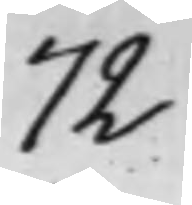72
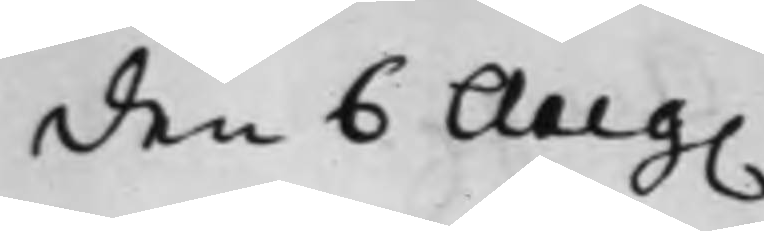den 6 Aug.
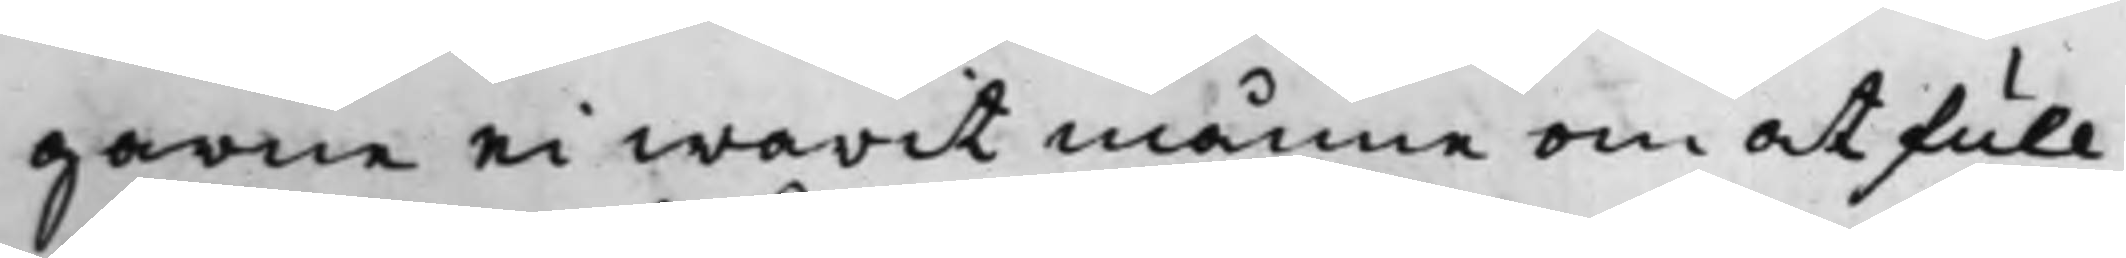garne ei warit månne om at full¬
